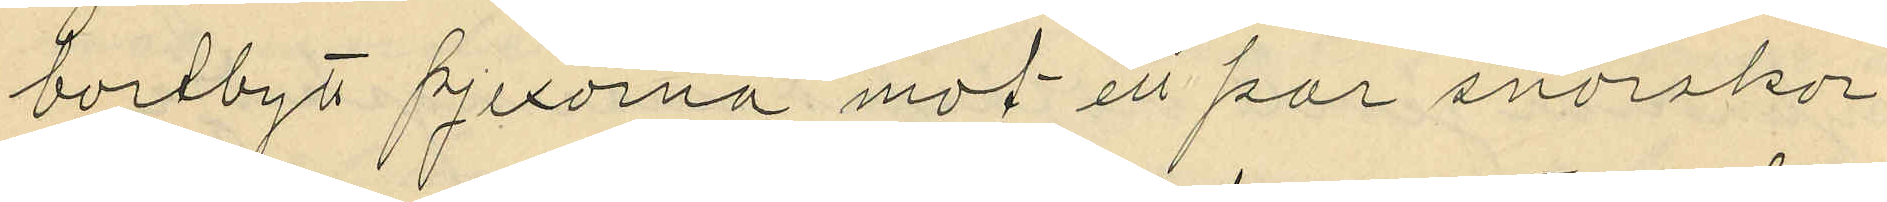bortbytt pjexorna mot ett par snörskor
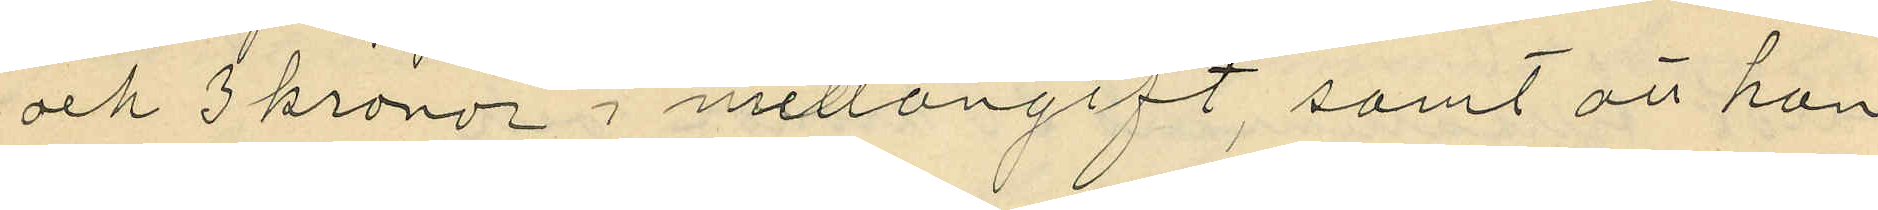och 3 kronor i mellangift, samt att han
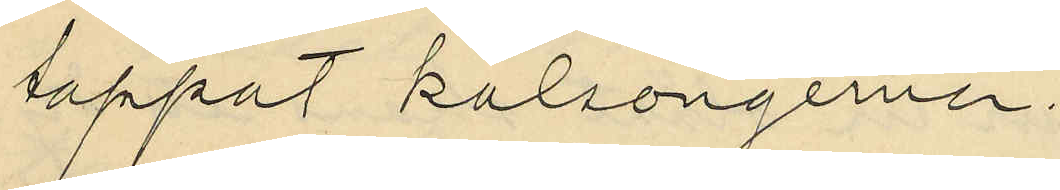tappat kalsongerna.
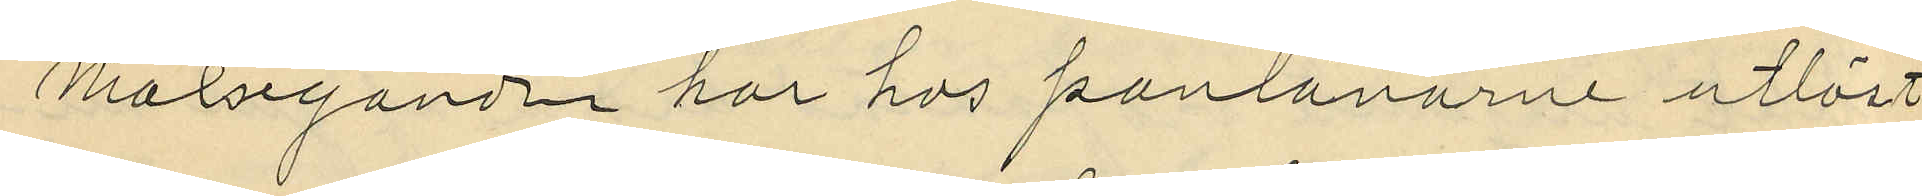Målseganden har hos panlånarne utlöst
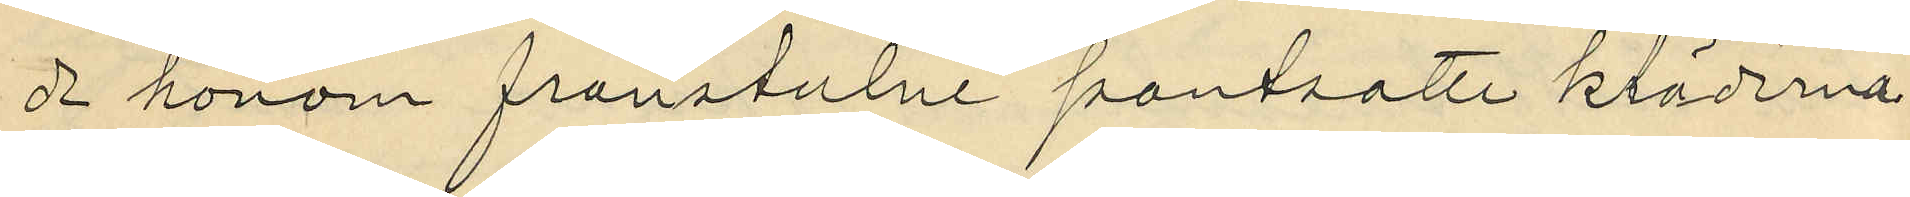de honom frånstulne pantsatte kläderna.
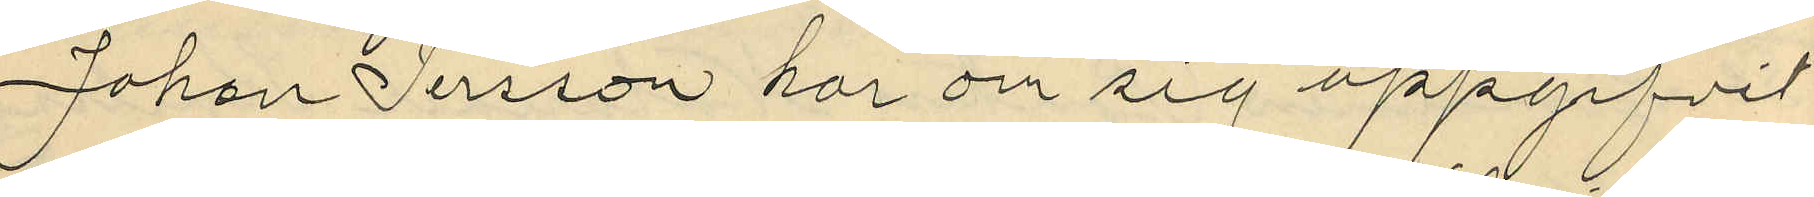Johan Persson har om sig uppgifvit
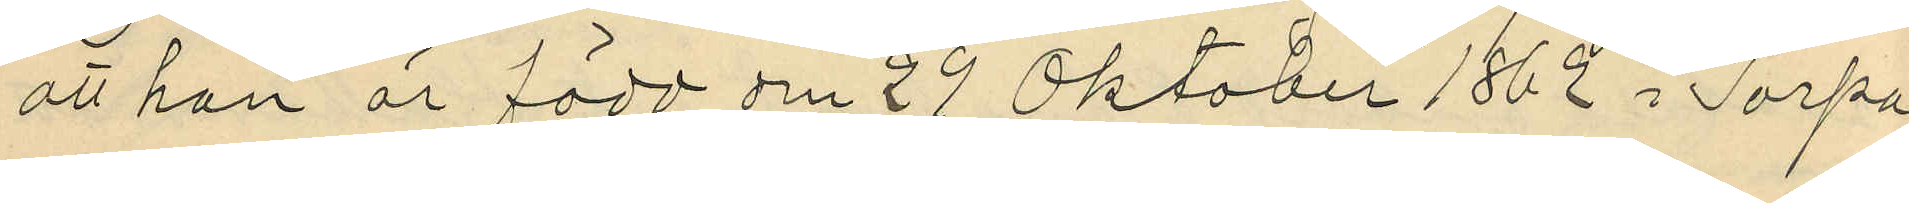att han är född den 29 Oktober 1862 i Torpa
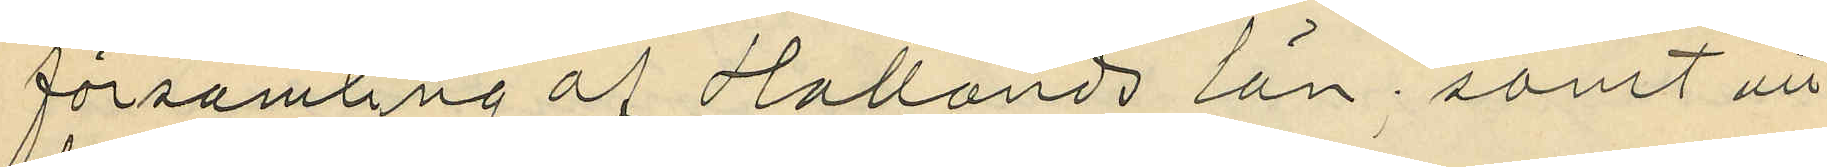församling af Hallands län; samt att
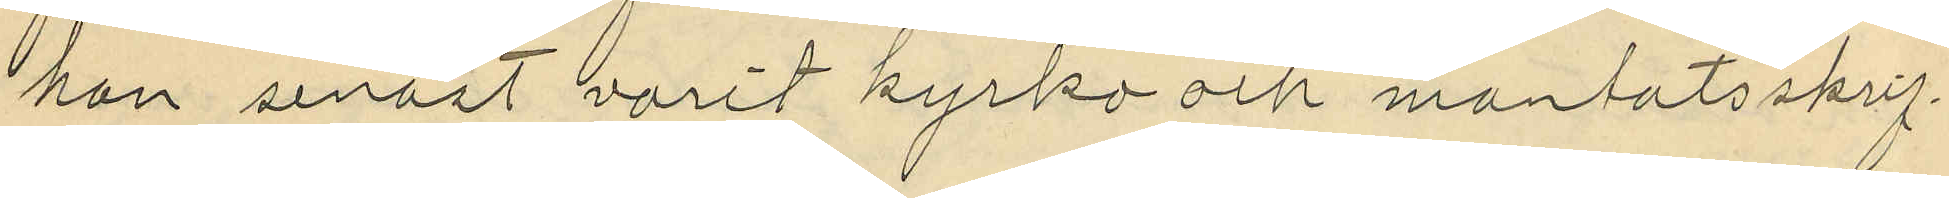han senast varit kyrko och mantatsskrif¬
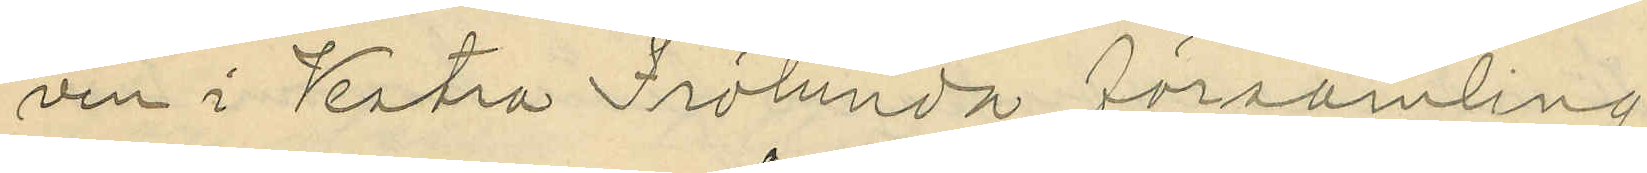ven i Vestra Frölunda församling.
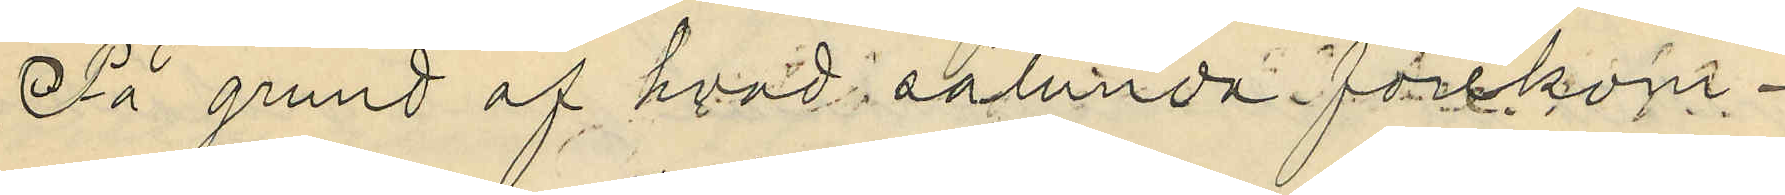På grund af hvad i sålunda förekom¬
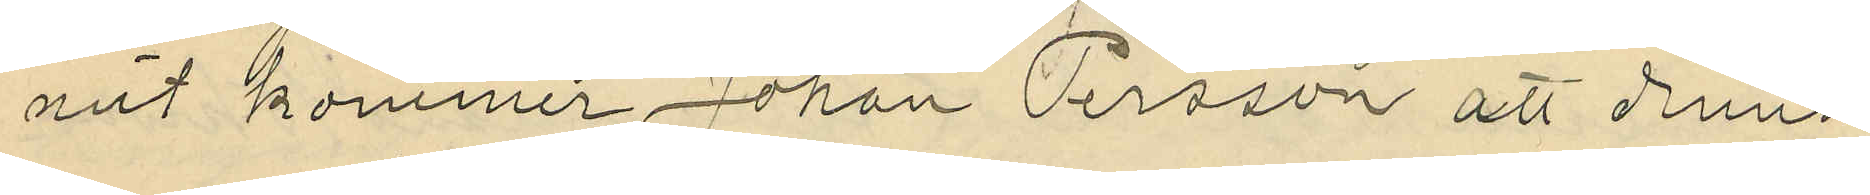mit kommer Johan Persson att denna
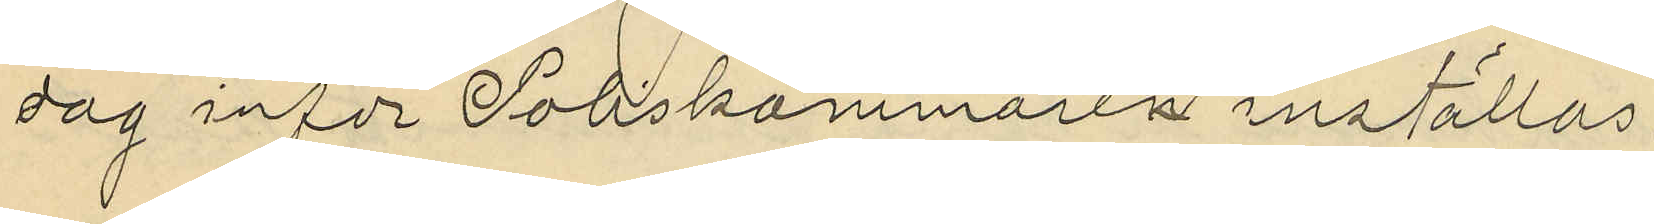dag inför Poliskammaren inställas.
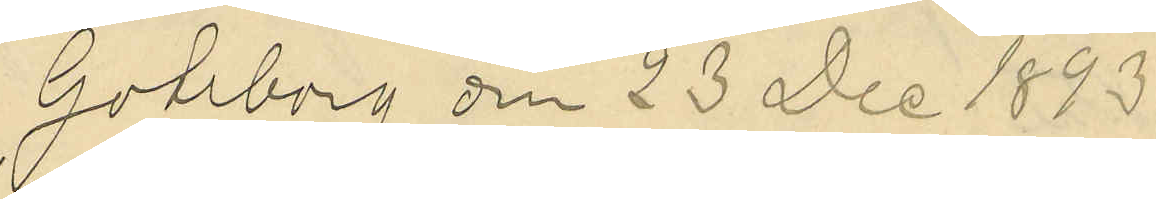Göteborg den 23 Dec 1893
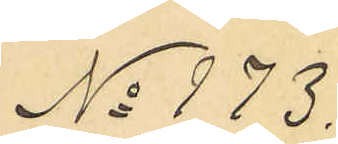No 173.
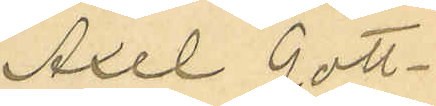Axel Gott¬
